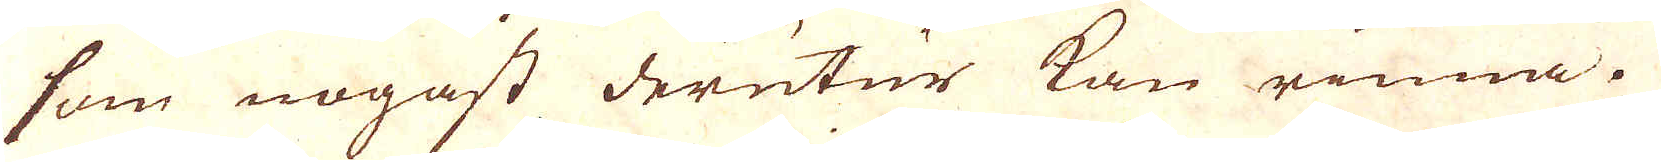som nogast derutur kan rinna.
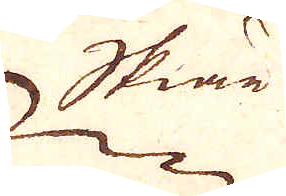Skiär
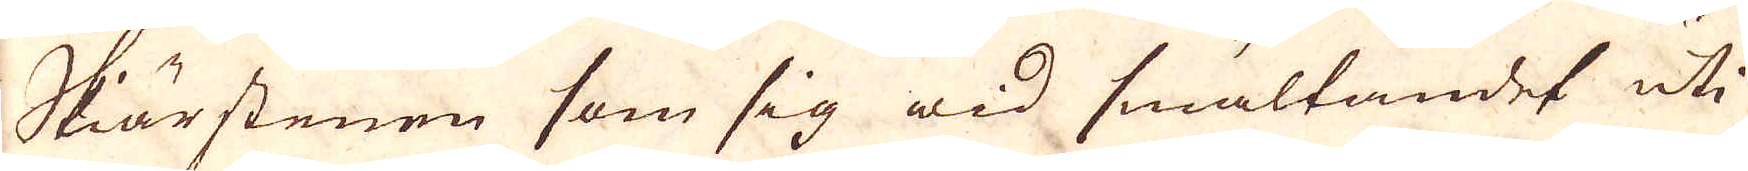Skärstenen som sig wid smältandet uti
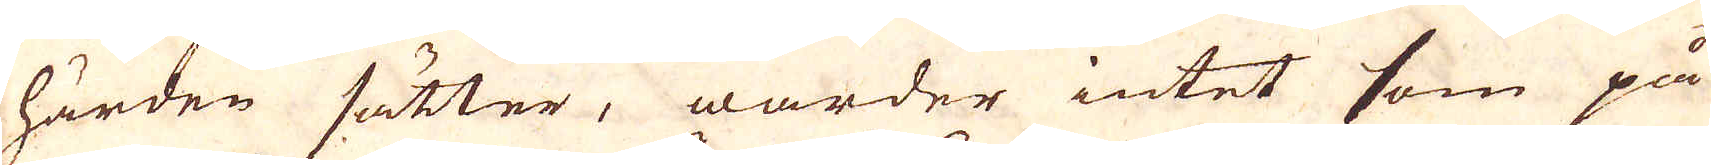härden sätter, warder intet som på
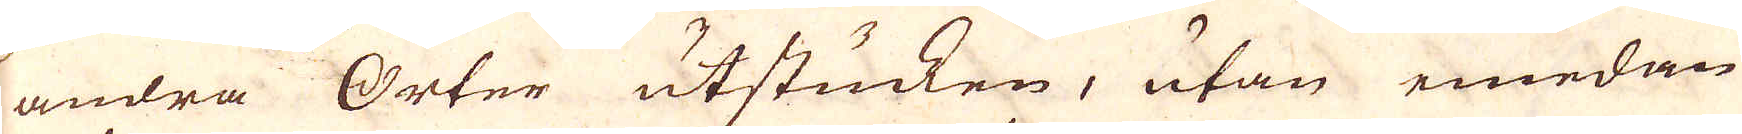andra Orter utstucken, utan emedan
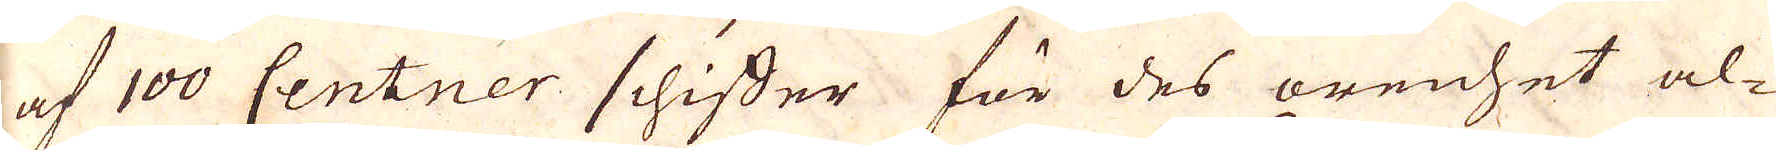af 100 Centner schiffer för des orenhet al-
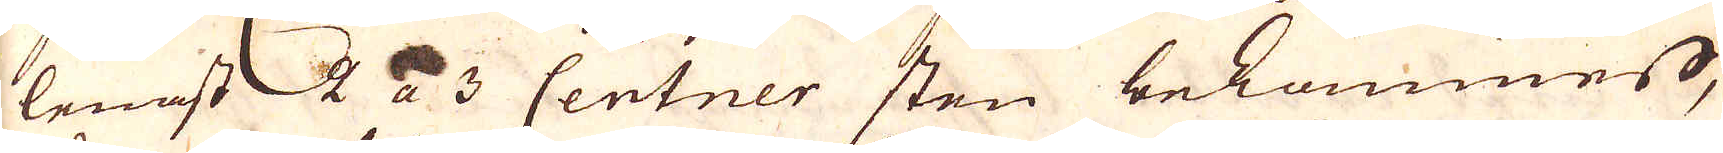lenast 2 a 3 Centner sten bekommer,
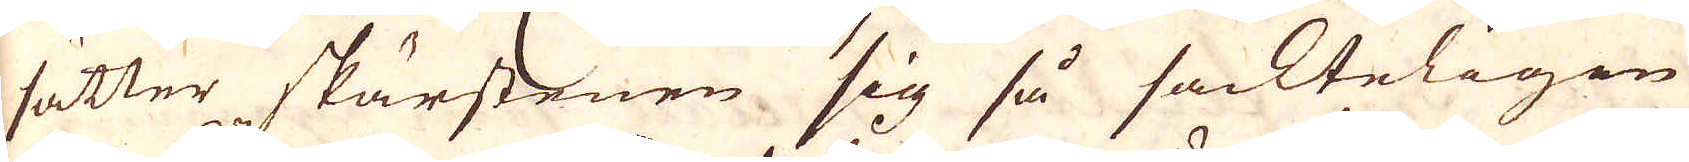sätter skärskenen sig så sackteligen
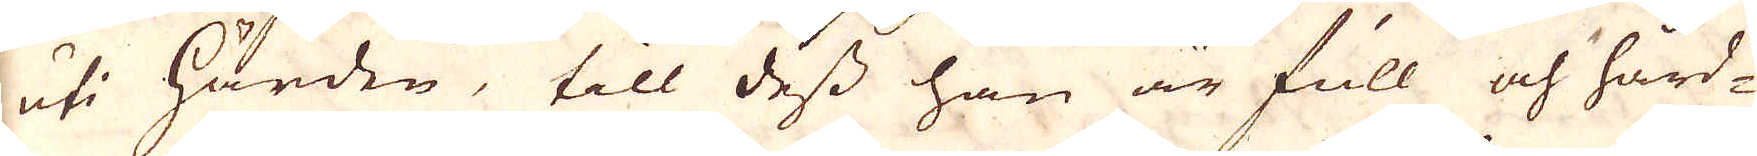uti härden, till dess han är full och hård-
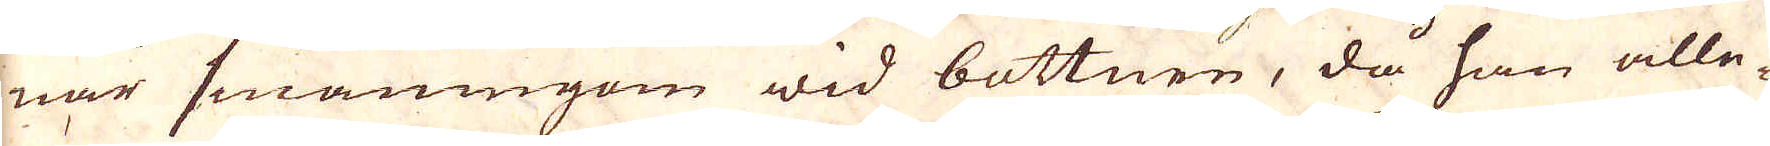nar småningom wid bottnen, då han alle-
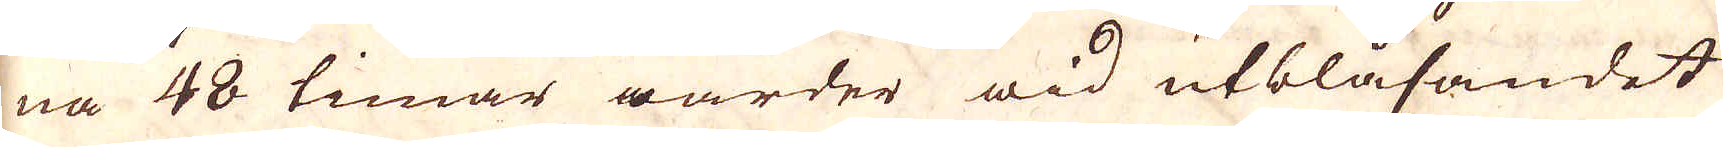na 48 timar warder wid utblåsandet
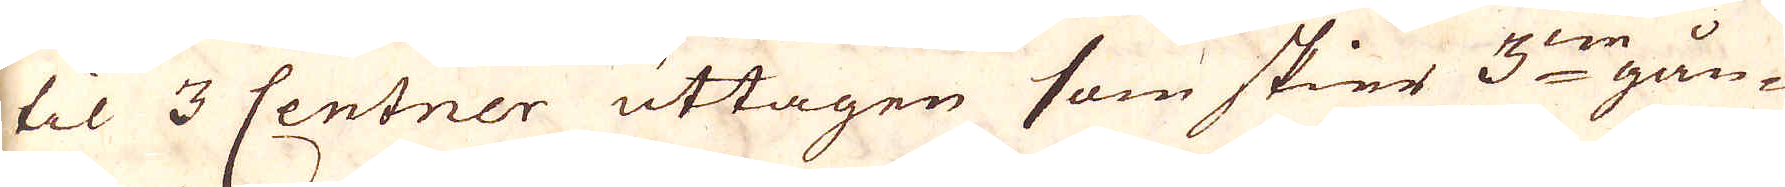til 3 Centner uttagen som skier 3:ne gån-
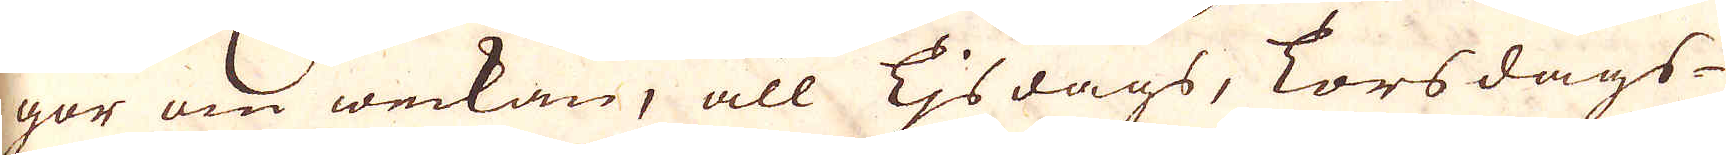ger om weckan, all Tjsdags, Torsdags-
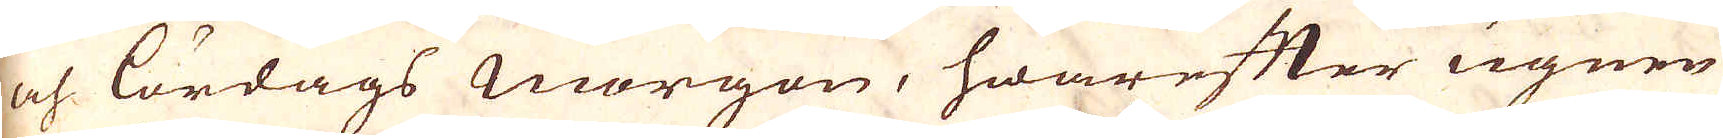och lördags Morgon, hwarefter ugnen
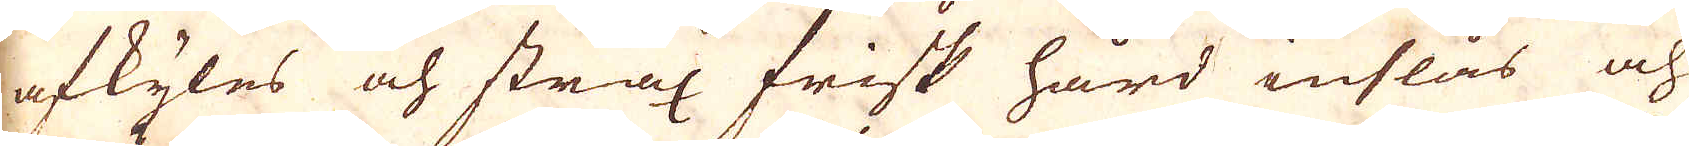afkyles och strax frisk hård inslås och
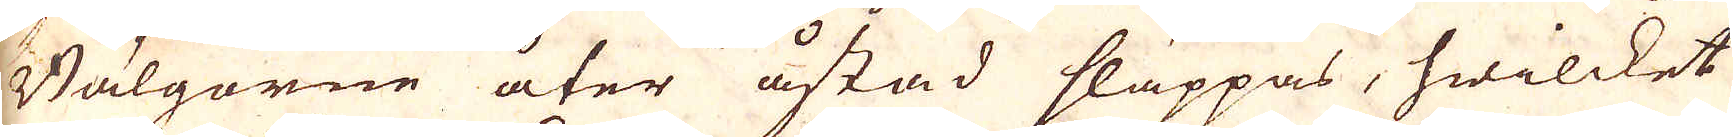Bälgorne åter åstad släppas, hwilcket
